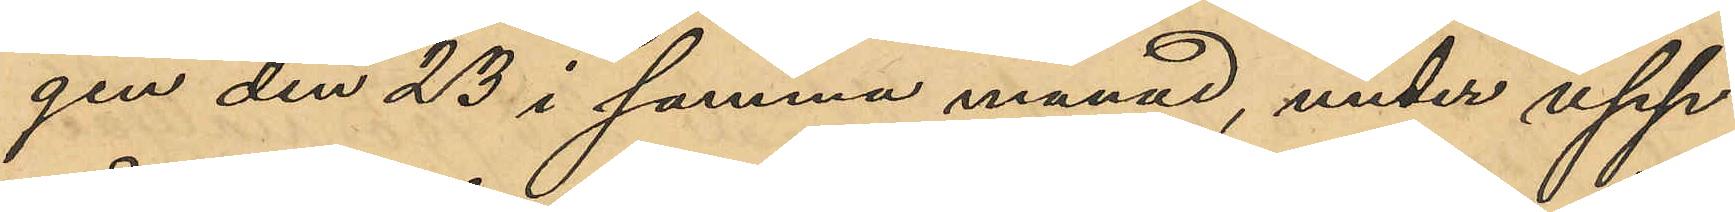gen den 23 i samma månad, under upp¬
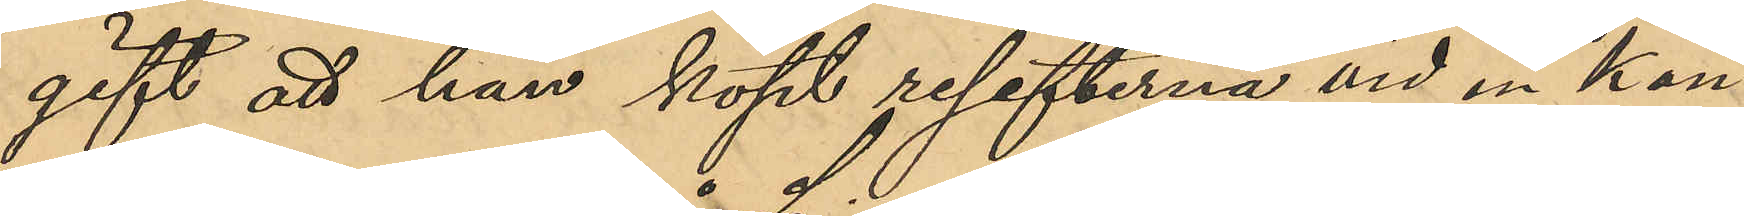gift att han köpt resefterna vid en Kon¬
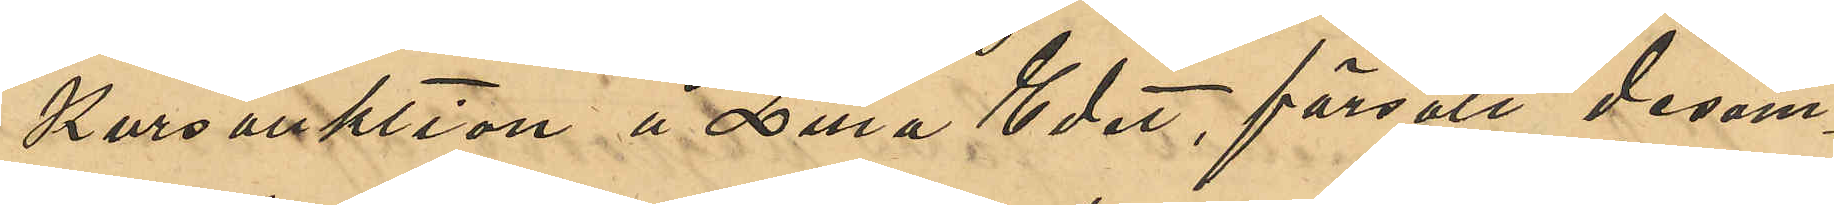kursauktion å Lilla Edet, försålt desam¬
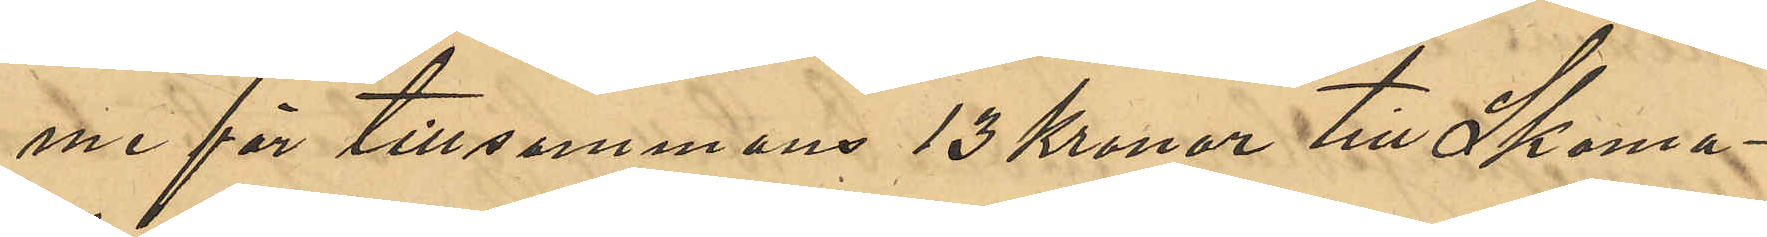me för tillsammans 13 Kronor till Skoma¬
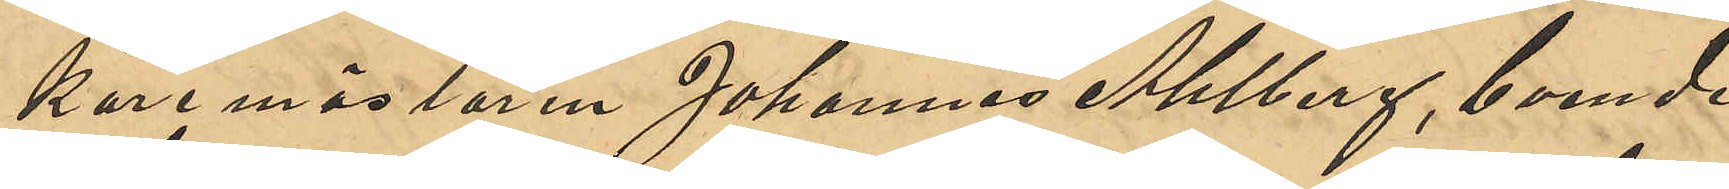karemästaren Johannes Ahlberg, boende
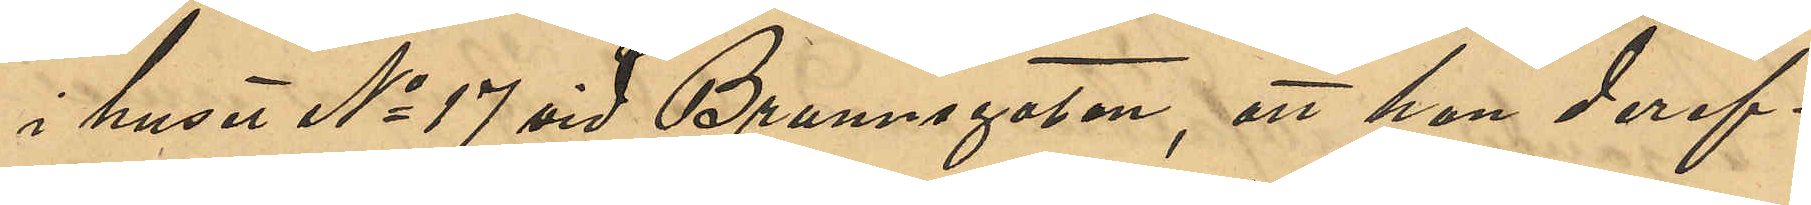i huset No 17 vid Brunnsgatan, att han deref¬
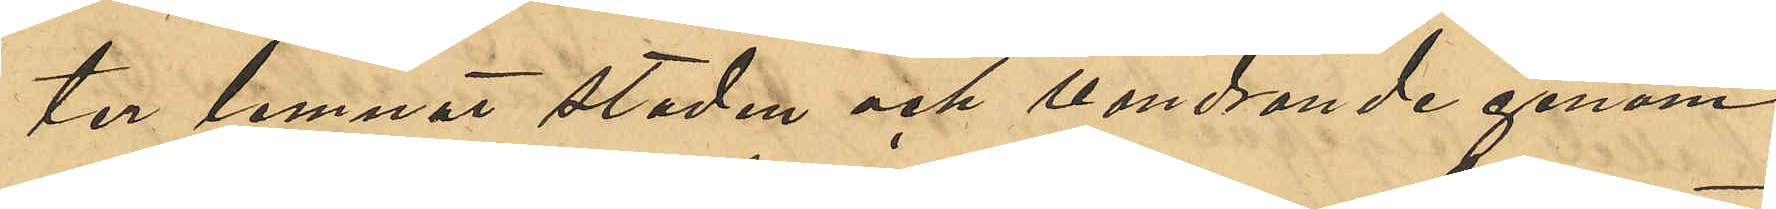ter lemnat staden och vandrande genom
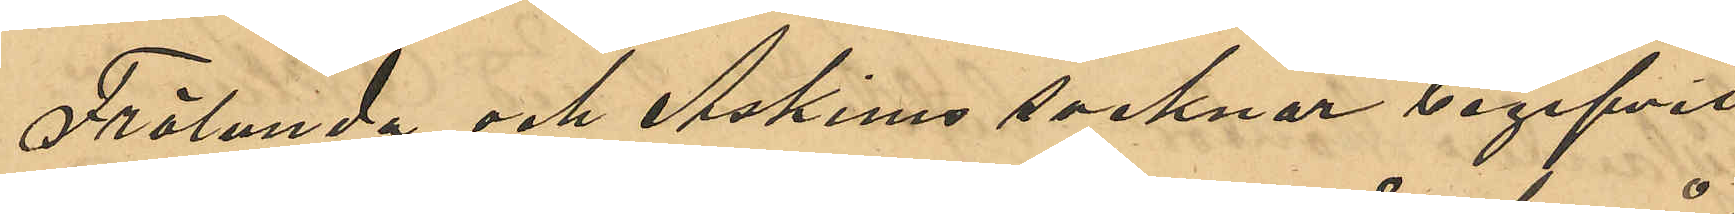Frölunda och Askims socknar begifvit
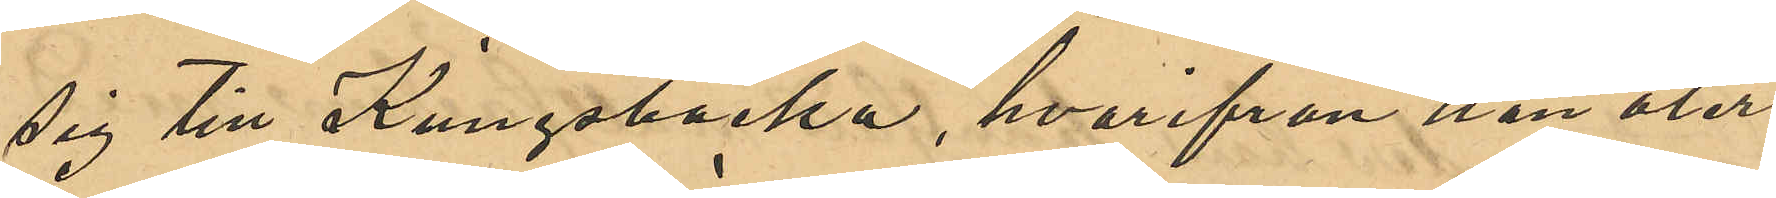sig till Kungsbacka, hvarifrån han åter
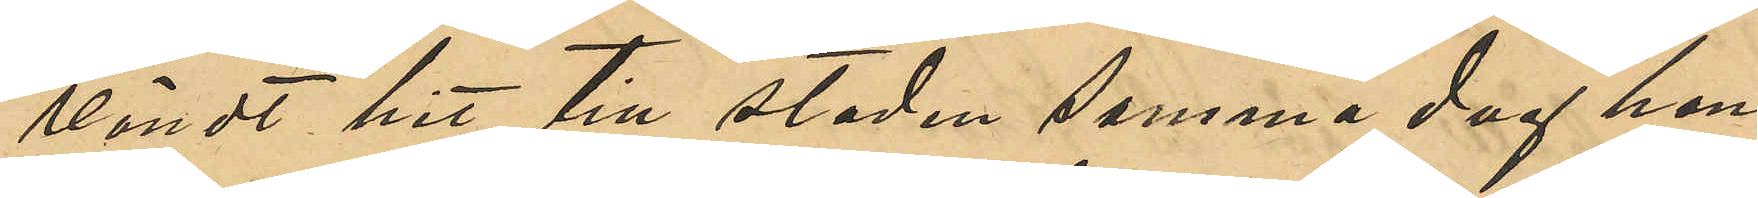vändt hit till staden samma dag han
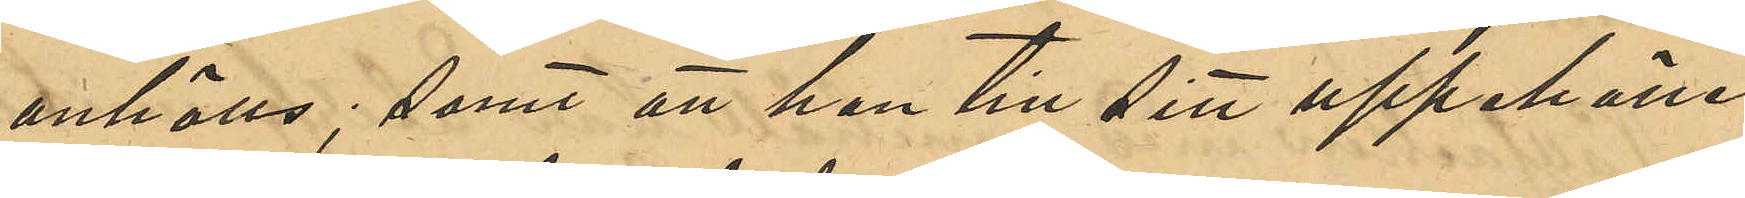anhölls, samt att han till sitt uppehälle
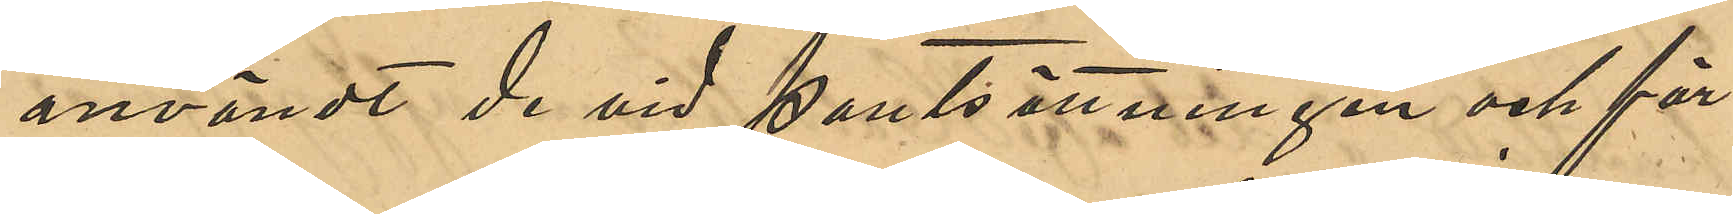användt de vid pantsättningen och för¬
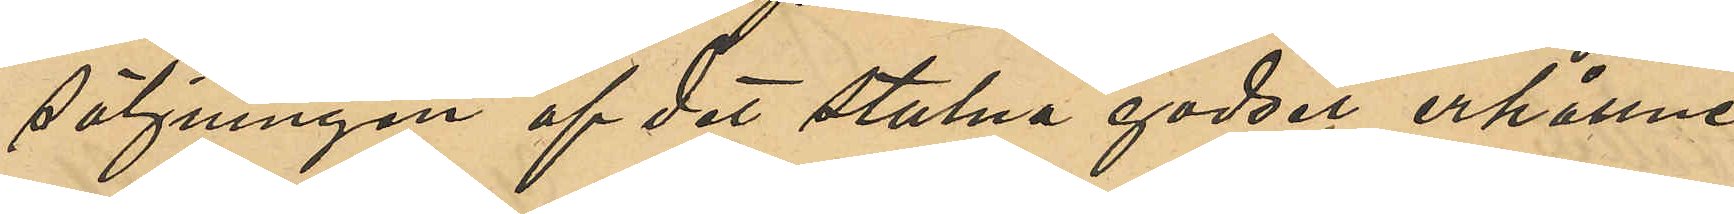säljningen af det stulna godset erhållne
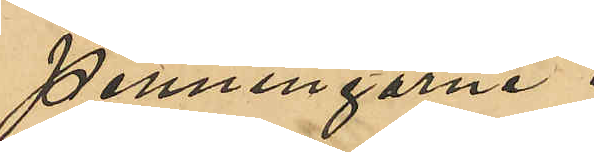penningarne.
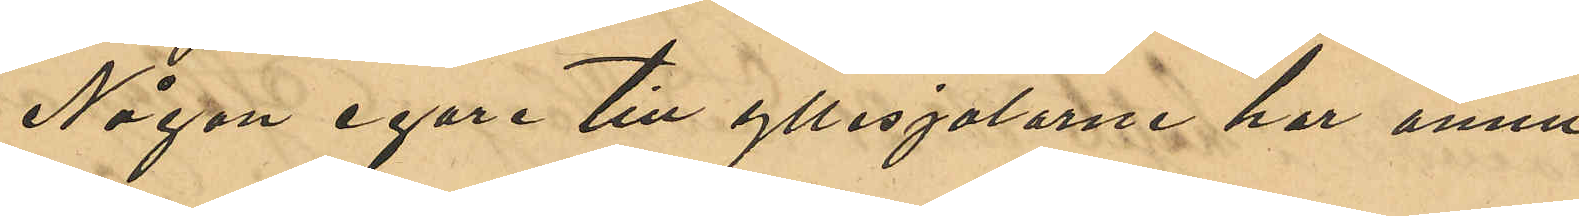Någon egare till yllesjalarne har ännu
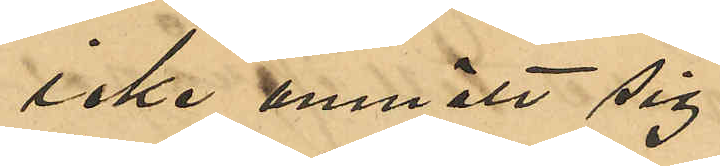icke anmält sig.
